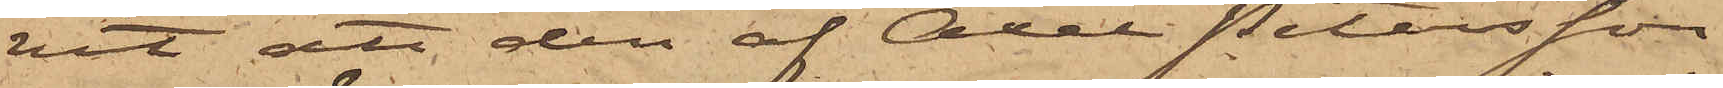vit att den af Axel Petersson
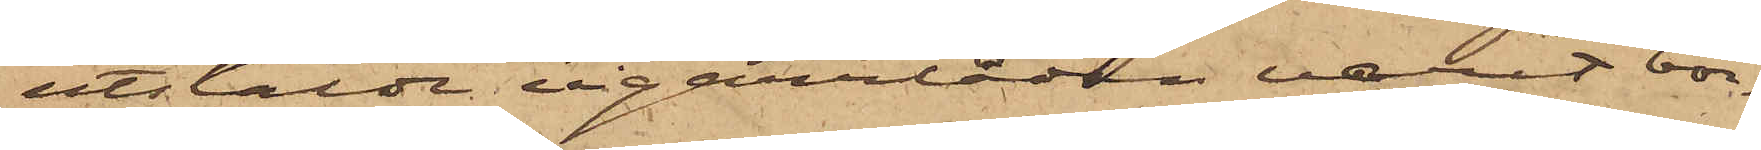utstälde cigarrlådan varit bor¬
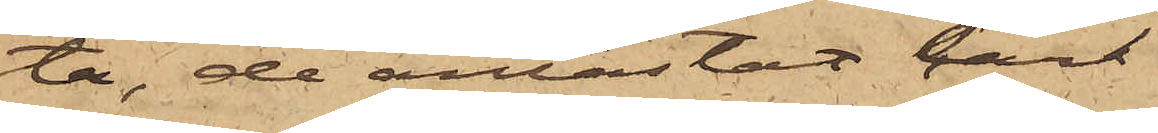ta, de antastat Carl
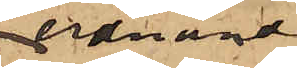Ferdinand
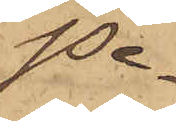Pe¬
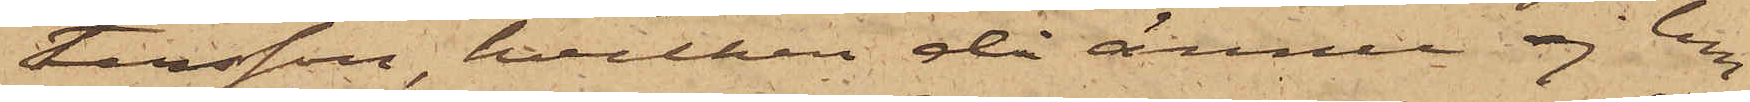tersson, hvilken då ännu ej lem¬
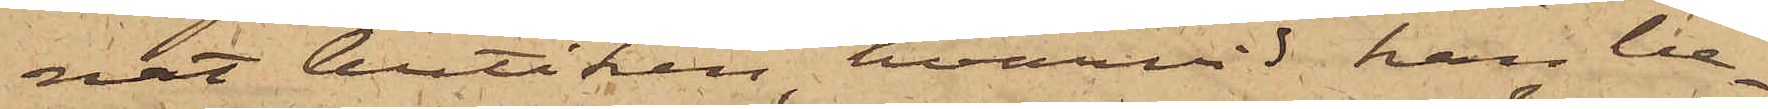nat butiken, hvarvid han be¬
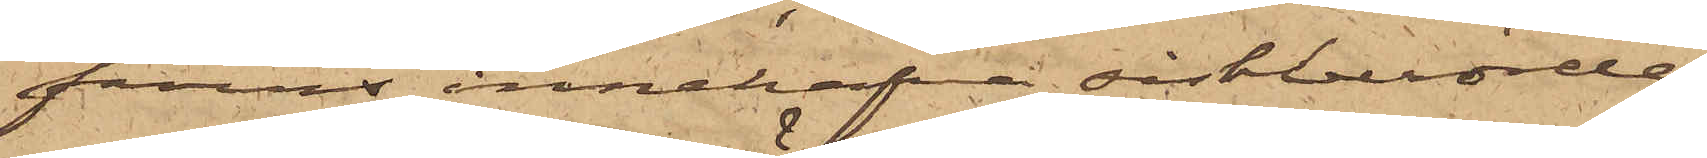fanns innehafva sistberörde
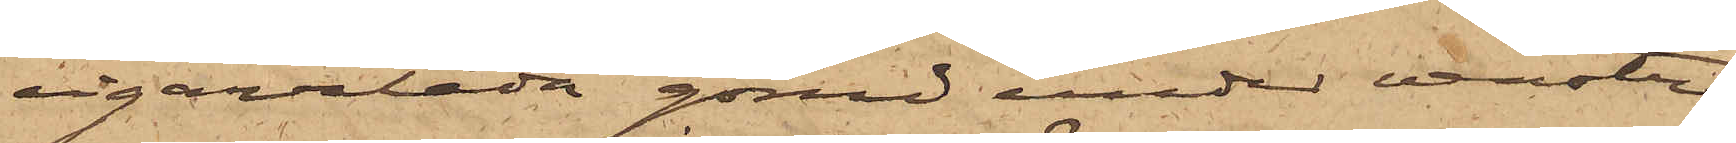cigarrlåda gömd under venstra
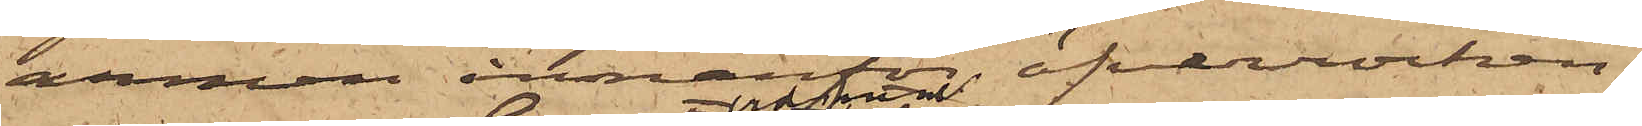armen innanför öfverrocken.
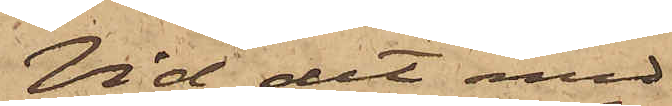Vid det med
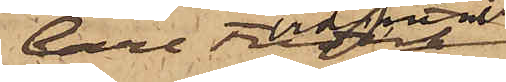Carl Ferdinand
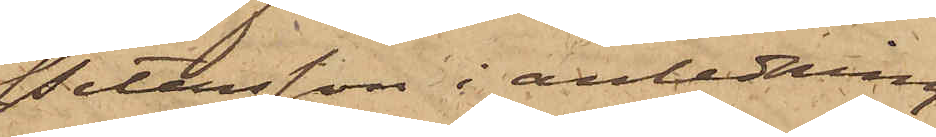Petersson i anledning
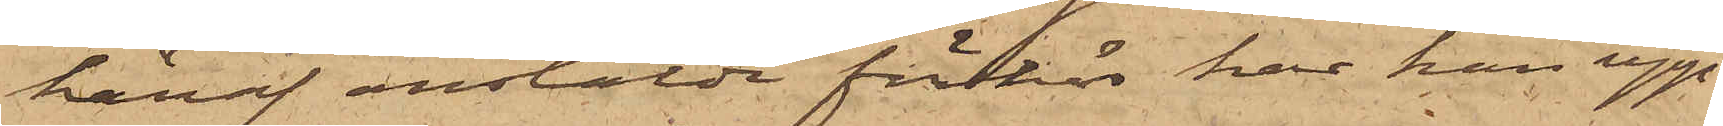häraf anstälde förhör har han upp¬
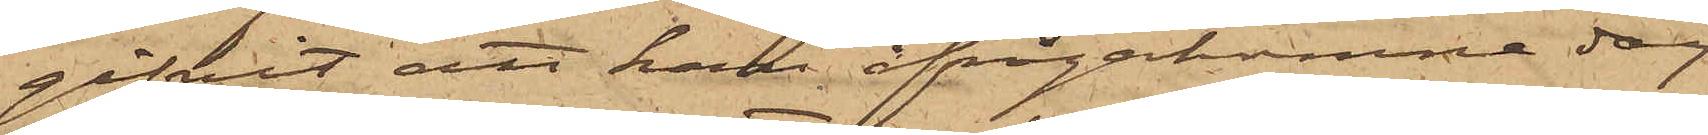gifvit att han ifrågakomne dag
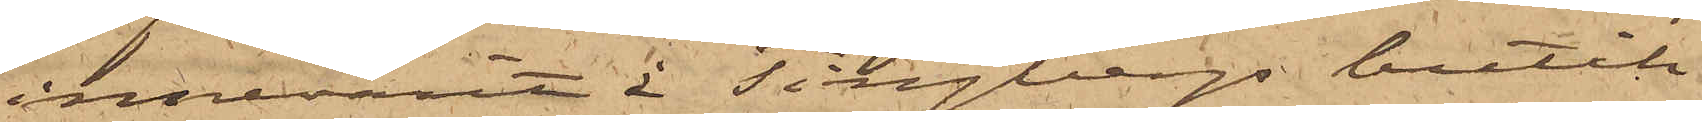innevarit i Tingbergs butik
